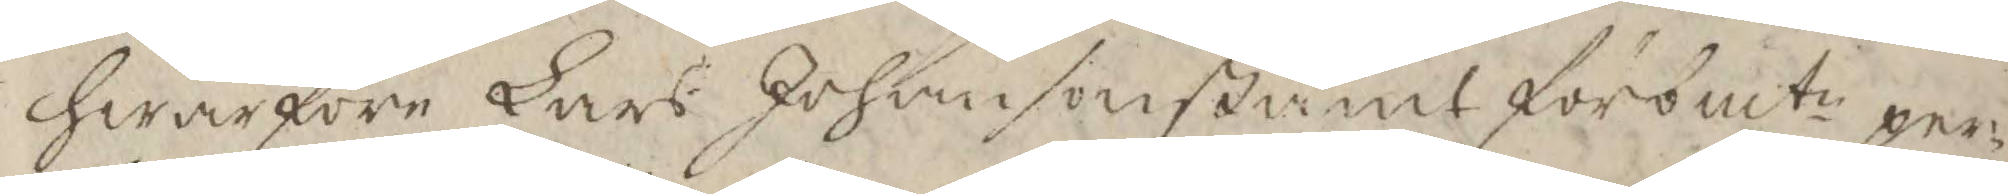hwarföre Lars Johanson stämt förbmte per¬
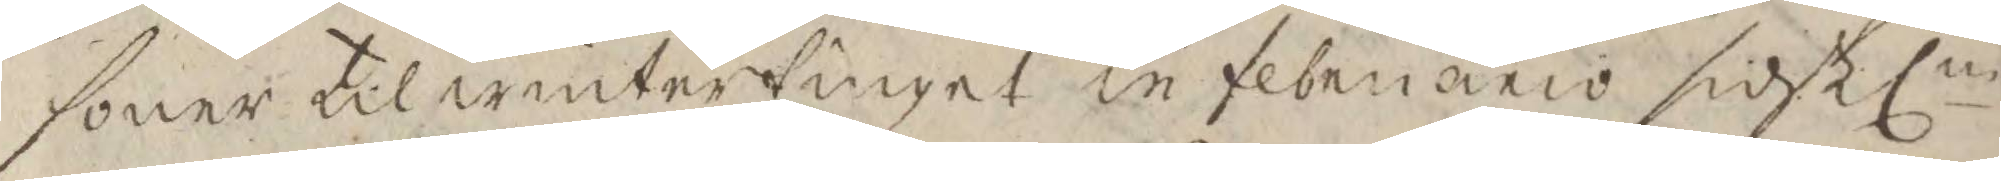soner til wintertinget in februario sistlne
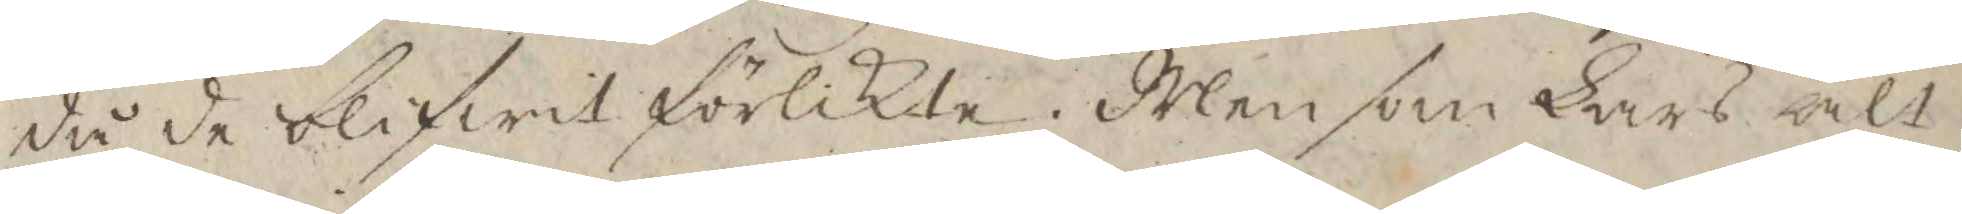då de blifwit förlikte. Men som Lars alt
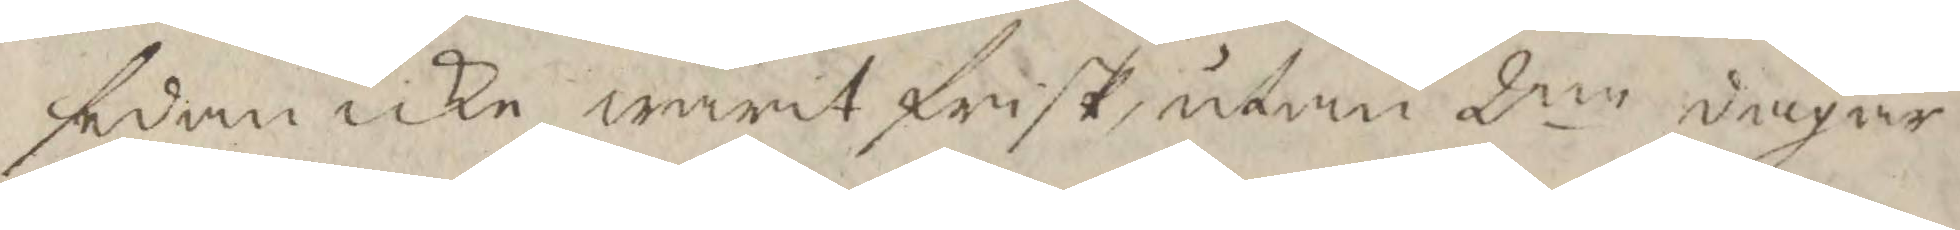sedan icke warit frisk, utan 2ne dagar
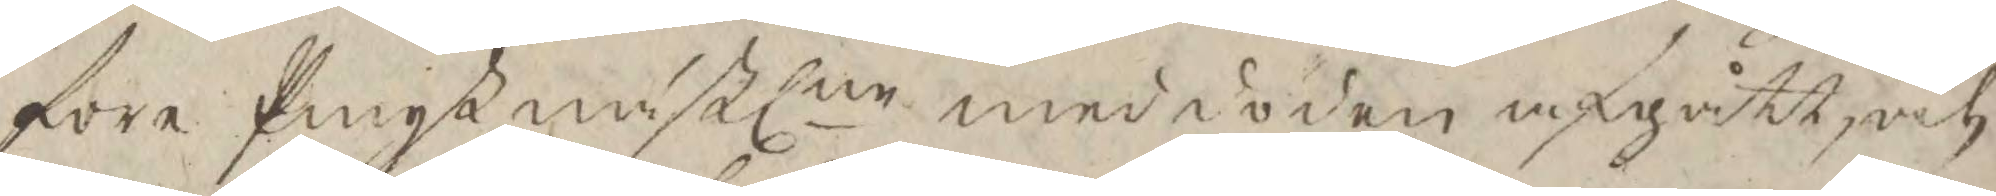fore Pingst nästlne med döden afgått, och
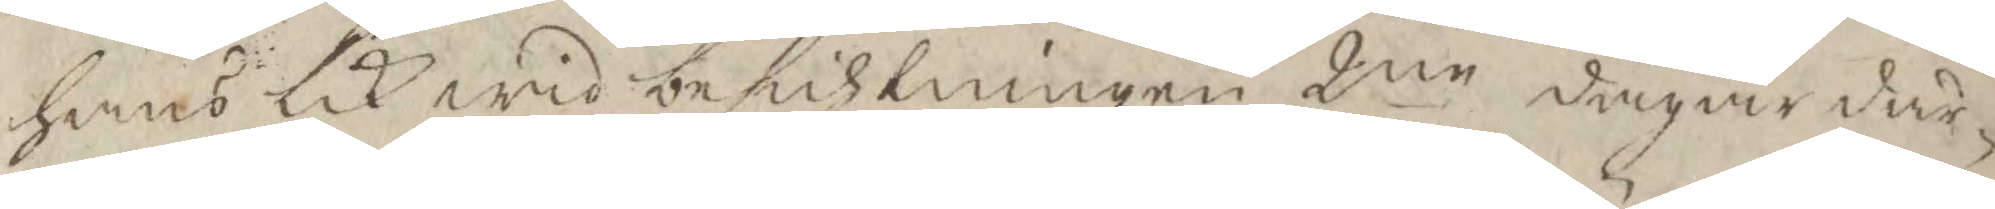hans lik wid besichtningen 2ne dagar där¬
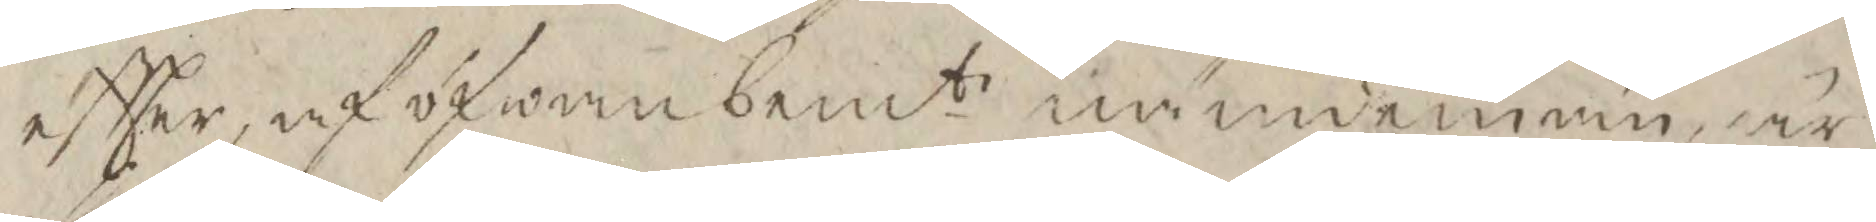eftter, af ofwan bemte nämdemän, är
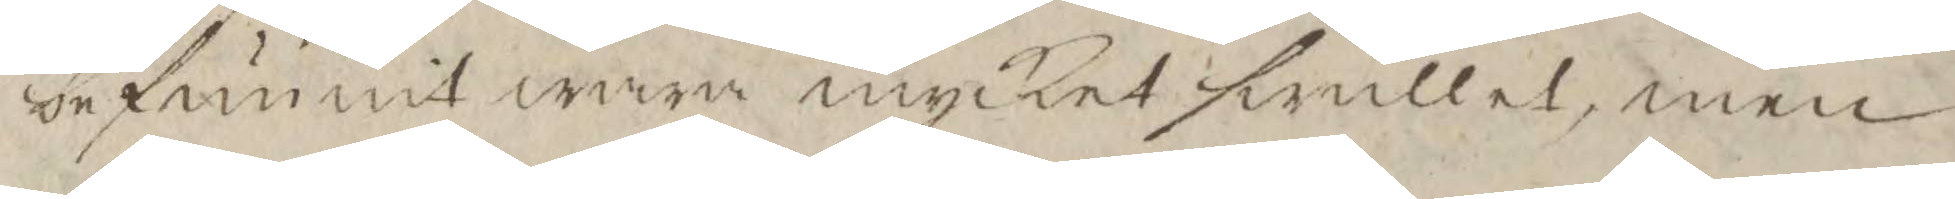befunnit wara mycket swullen, men
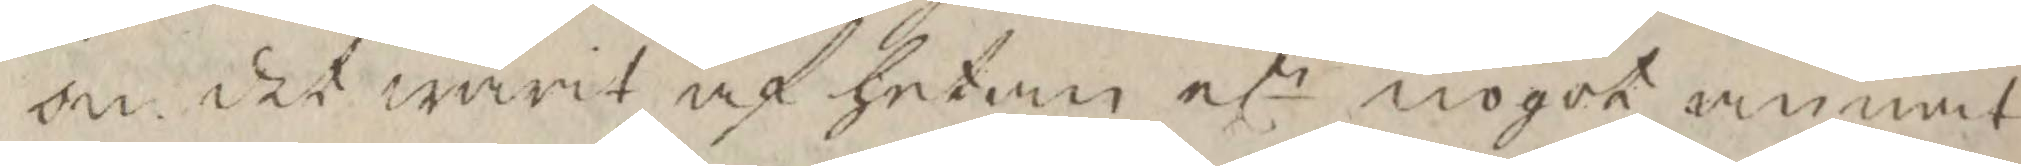om det warit af hetan elr nogot annat
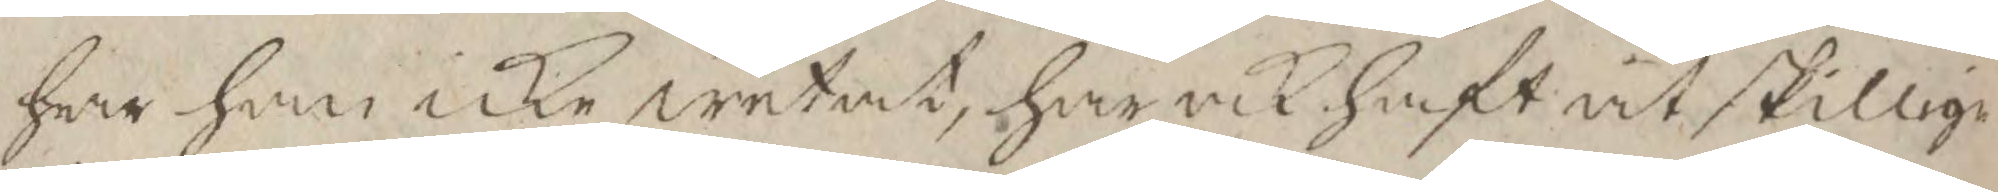har han icke wetat, har ock haft åtskillige
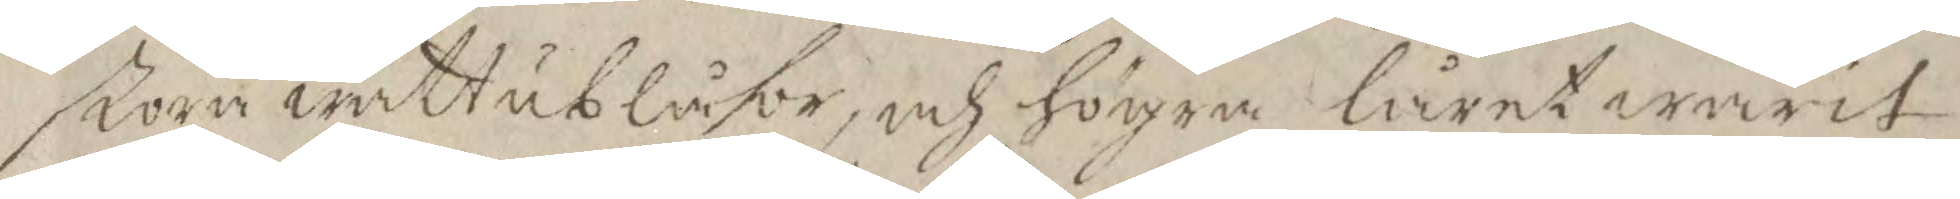stora wattublåsor, och högra låret warit
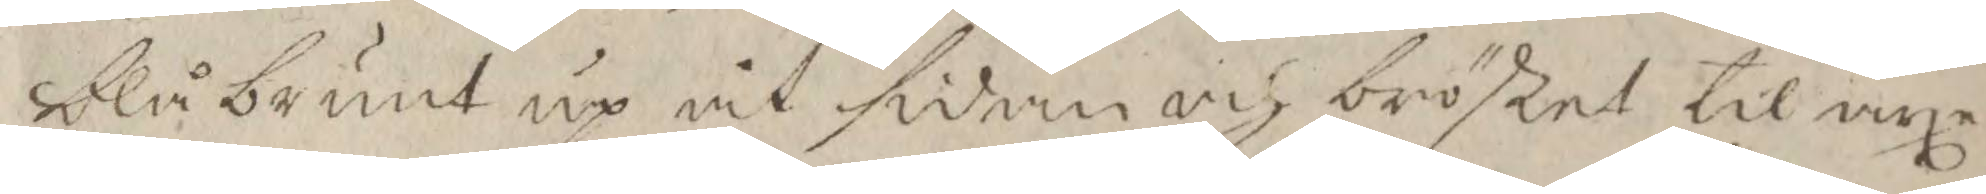blåbrunt up åt sidan och bröstet til axe¬
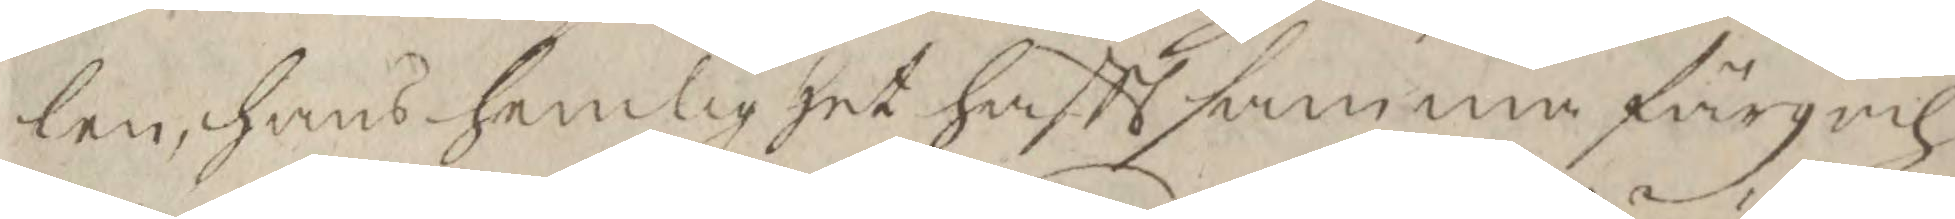len, hans hemlighet haftt samma färg och
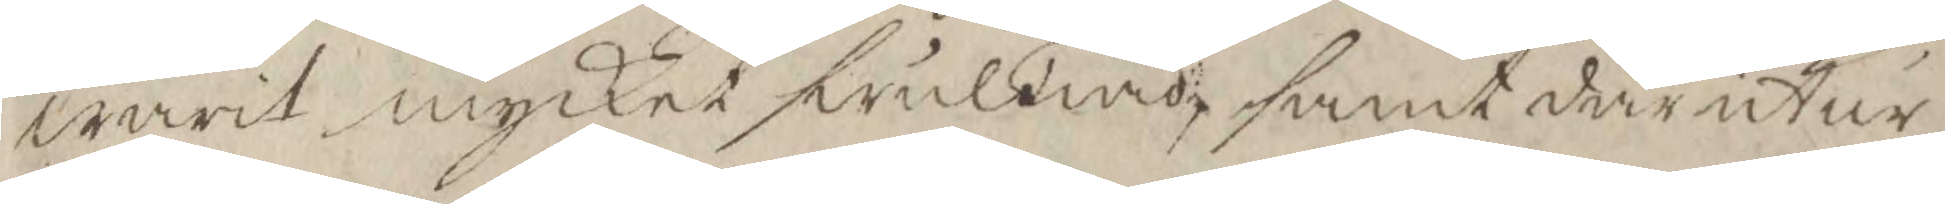warit mycket swullen, samt där utur
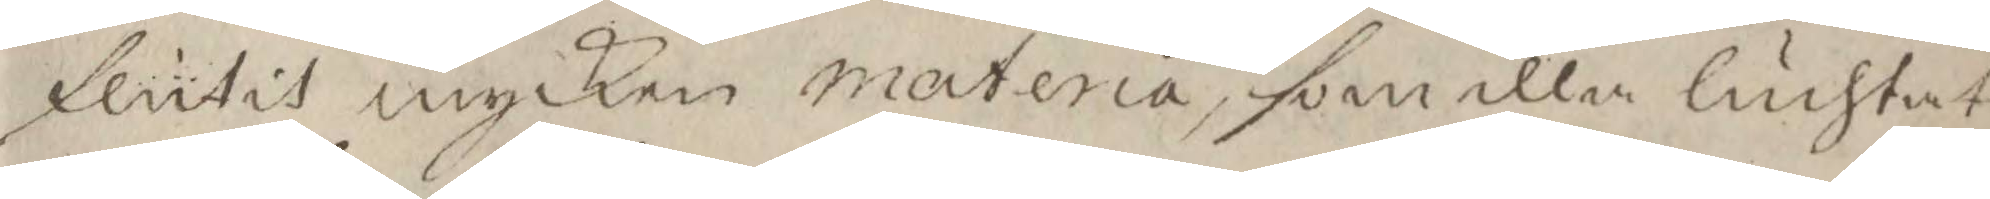flutit mycken materia, som illa luchtat
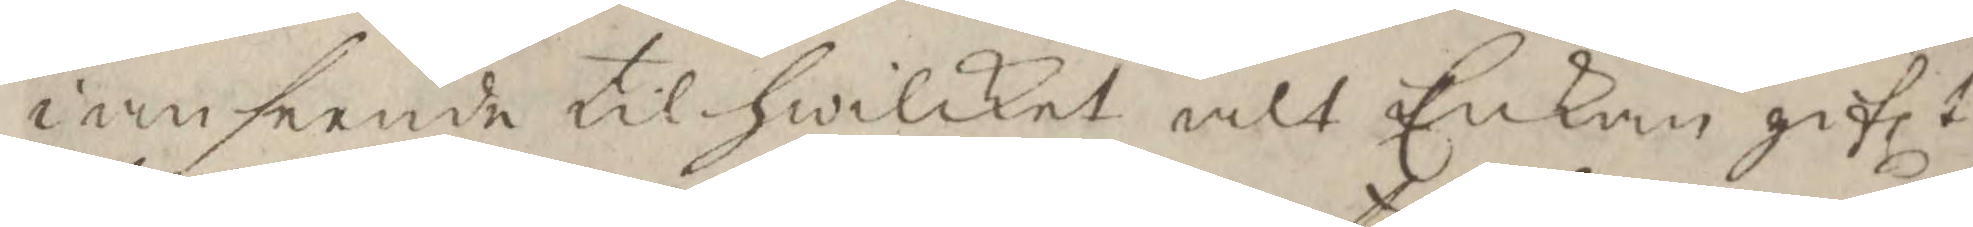i anseende til hwilket alt Enkan giflt
